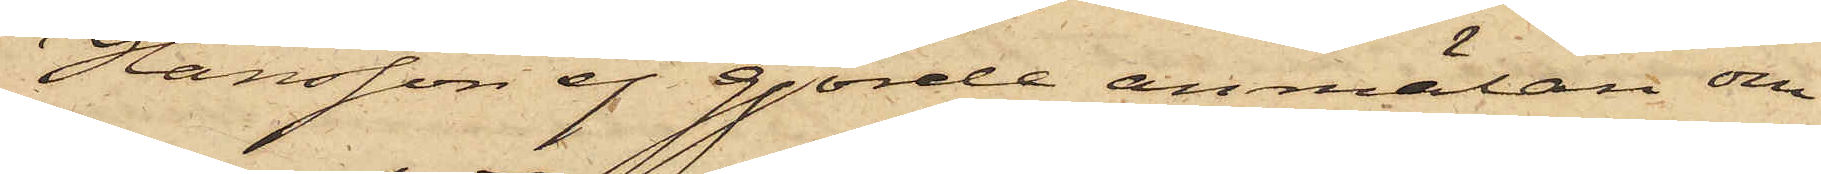Hansson ej gjorde anmälan om
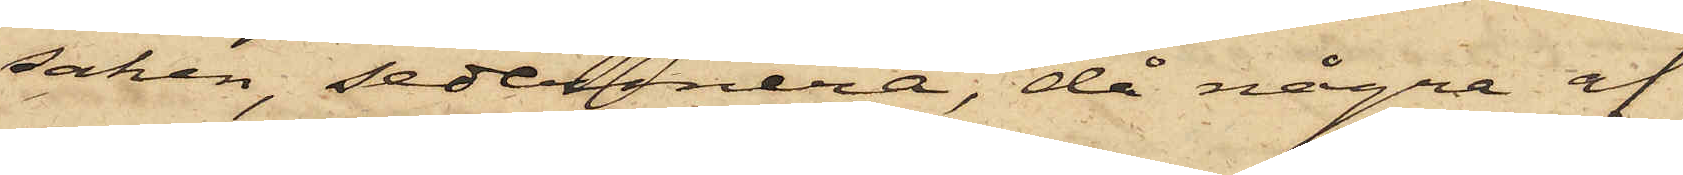saken, sedermera, då några af
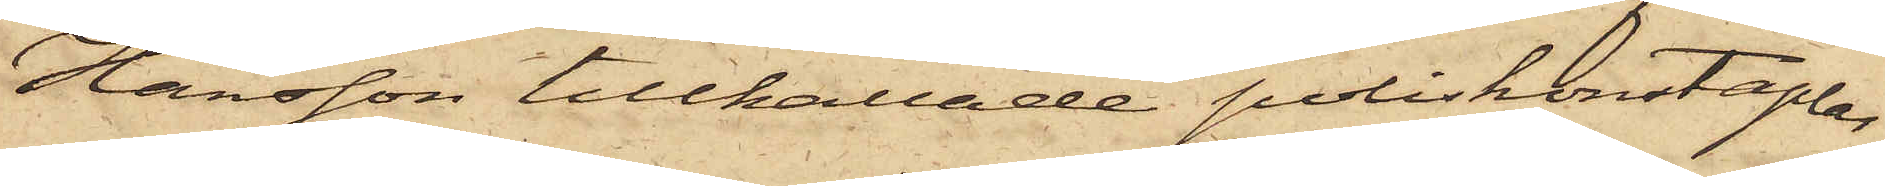Hansson tillkallade poliskonstaplar
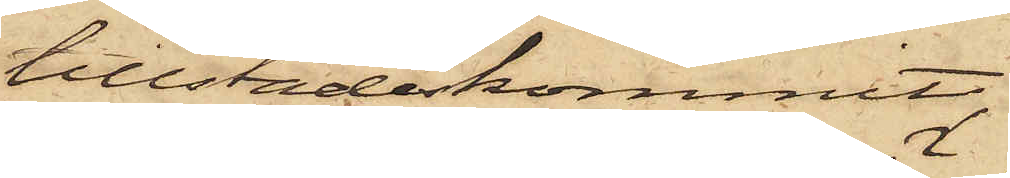tillstädeskommit,
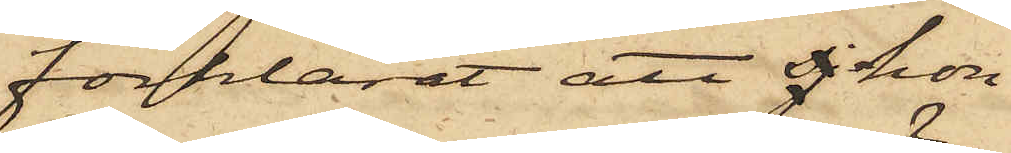förklarat att sj hon
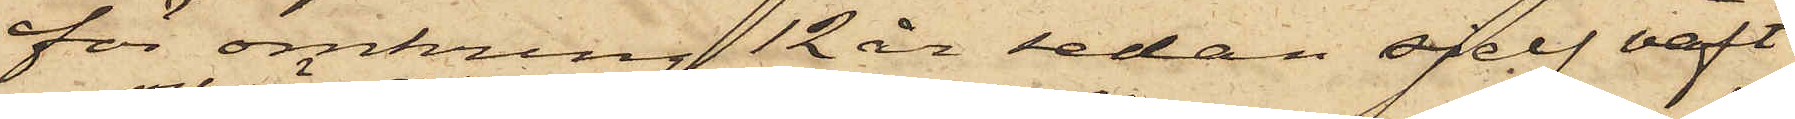för omkring 12 år sedan sjelf väft
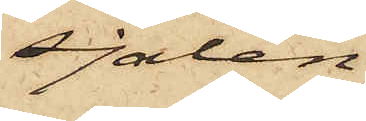sjalen,
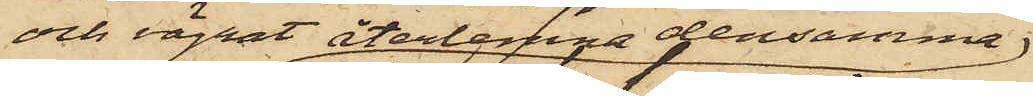och vägrat återlemna densamma
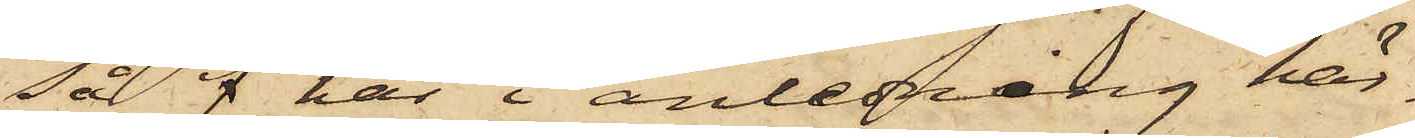så f har i anledning här¬
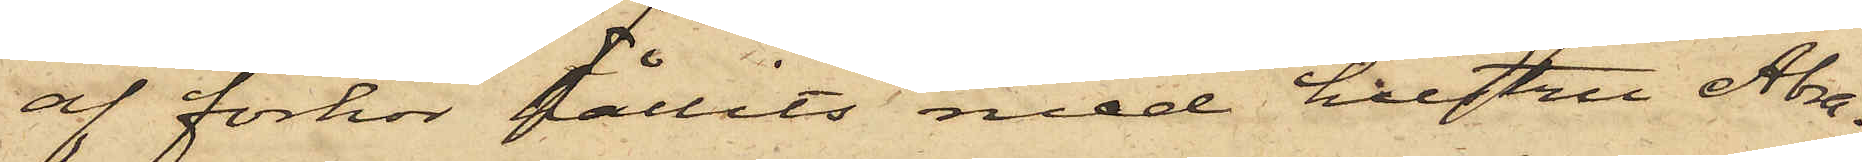af förhör hållits med hustru Abra¬
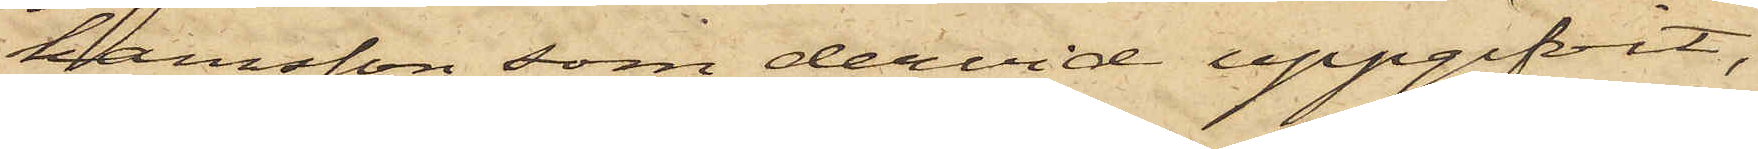hamsson, som dervid uppgifvit,
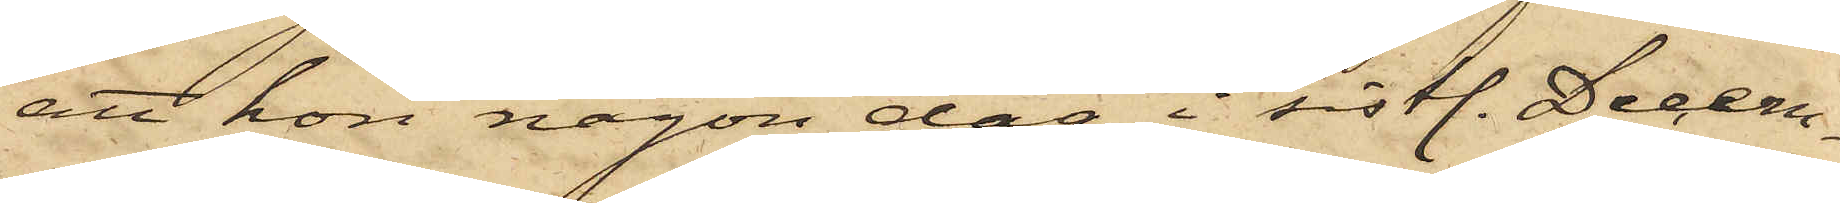att hon någon dag i sistl. Decem¬
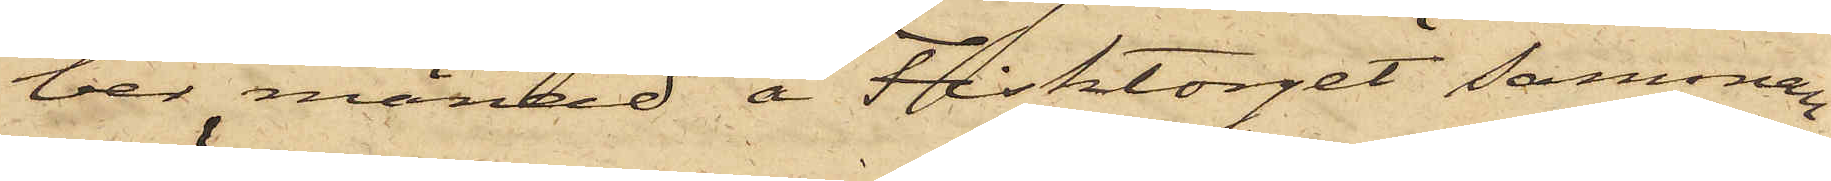ber månad å Fisktorget samman¬
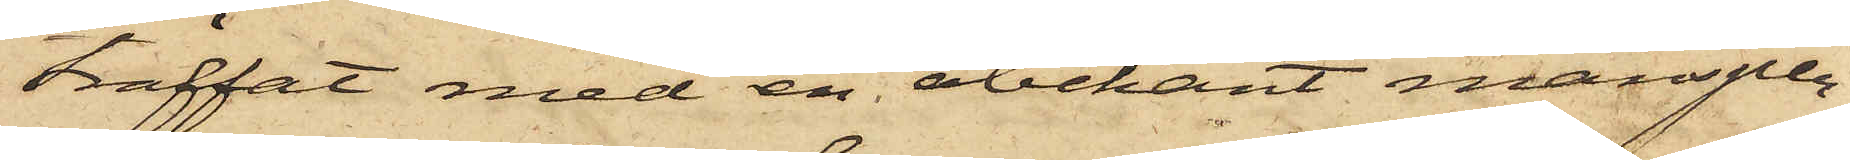träffat med en obekant mansper¬
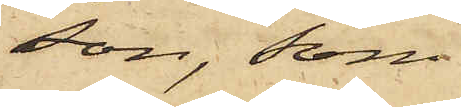son, som
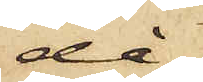då
